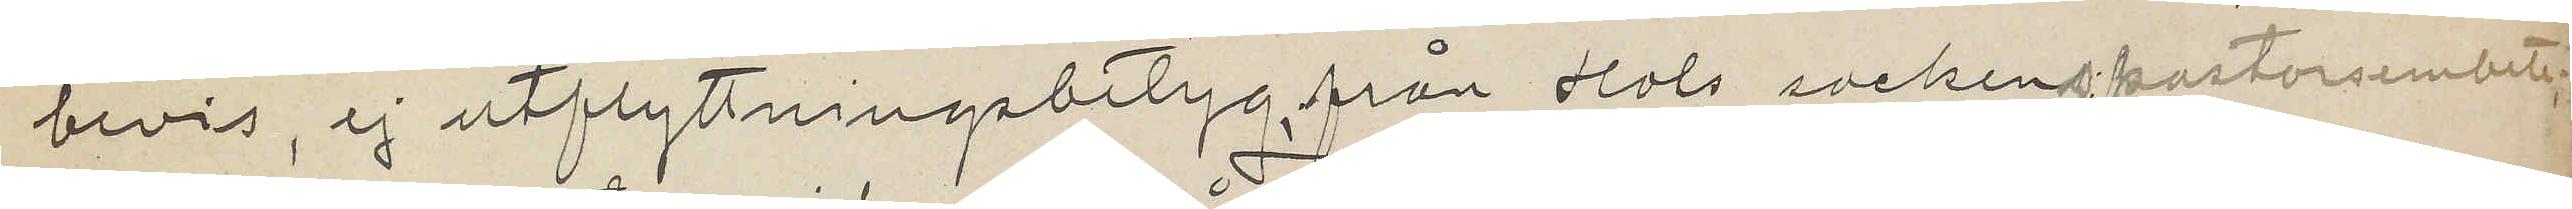bevis, ej utflyttningsbetyg, från Hols sockens pastorsembete;
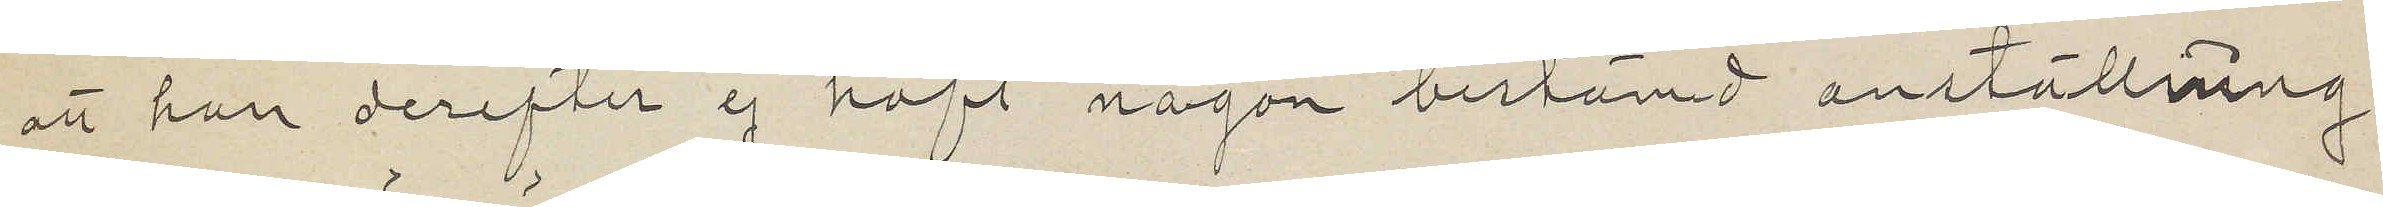att han derefter ej haft någon bestämd anställning
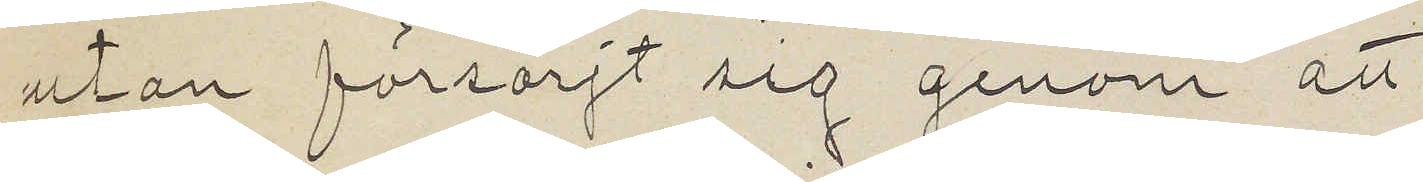utan försörjt sig genom att
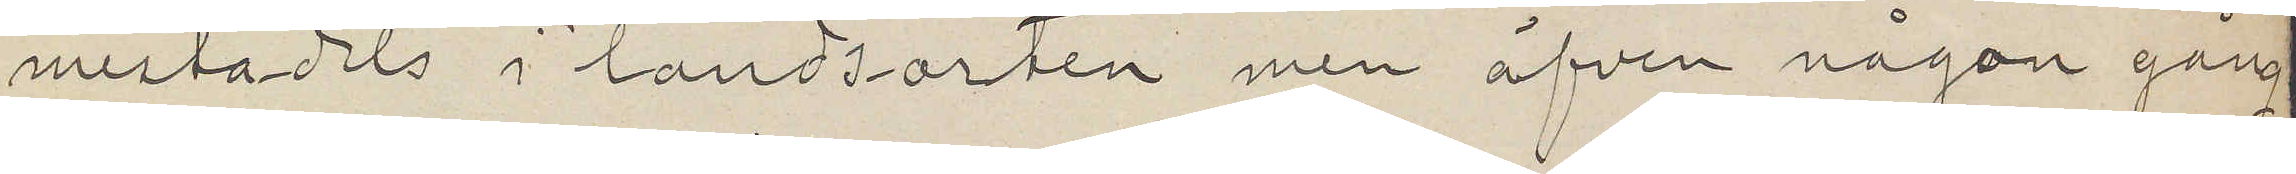mestadels i landsorten men äfven någon gång
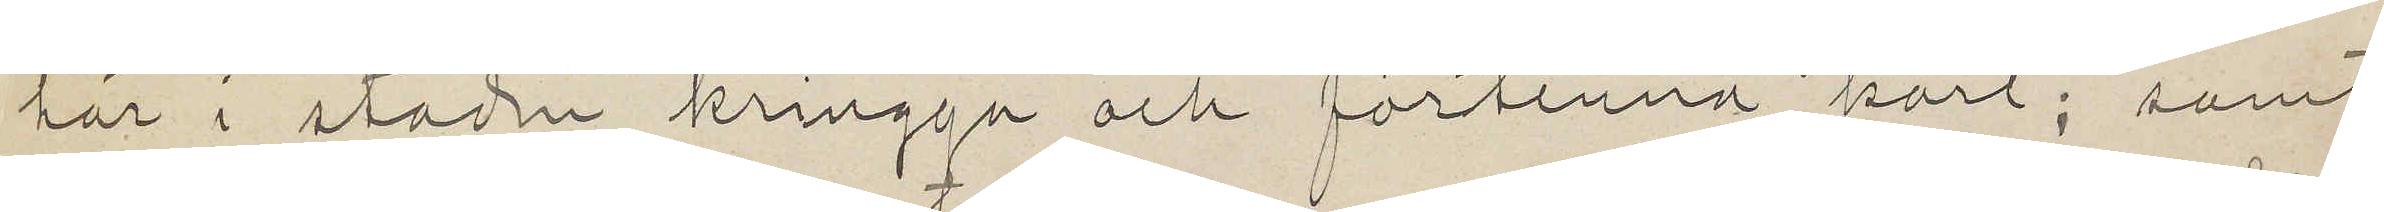här i staden kringgå och förtenna kärl; samt
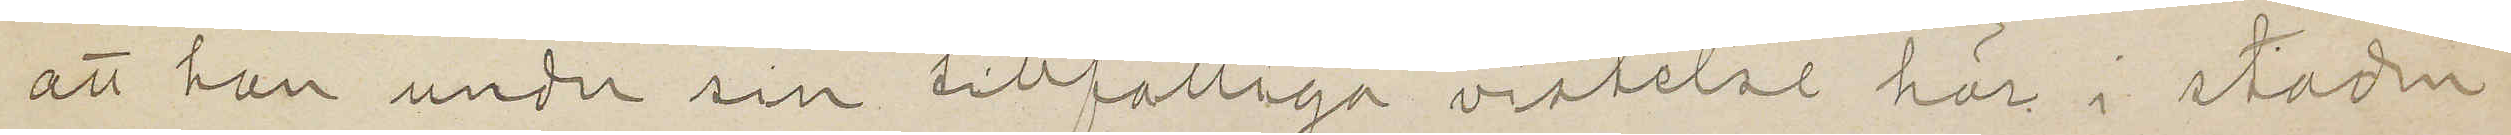att han under sin tillfälliga vistelse här i staden
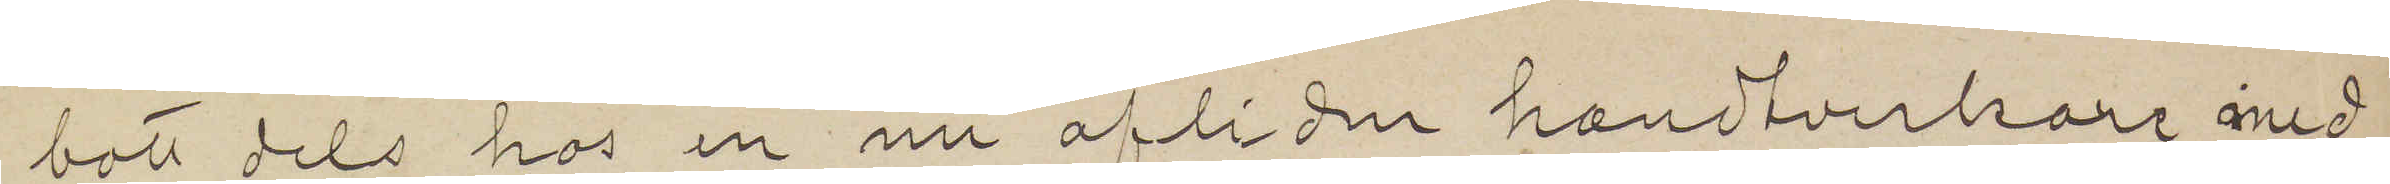bott dels hos en nu afliden handtverkare med
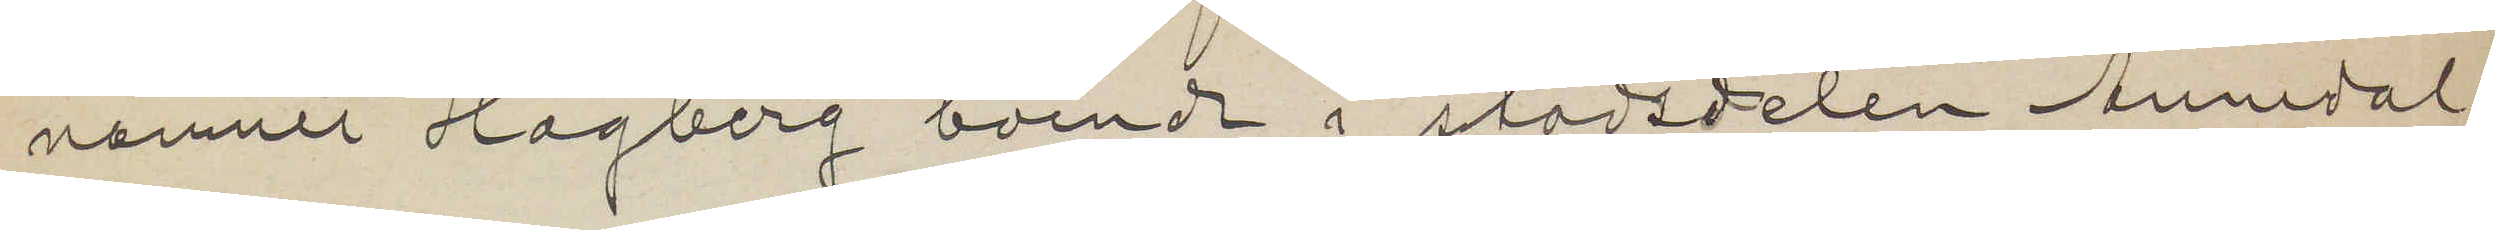namnet Hagberg boende i stadsdelen Annedal,
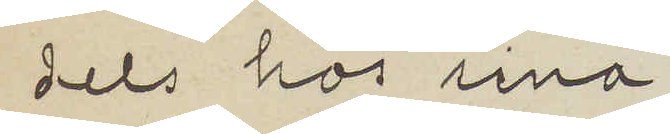dels hos sina
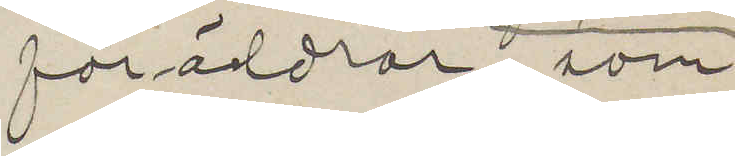föräldrar, som
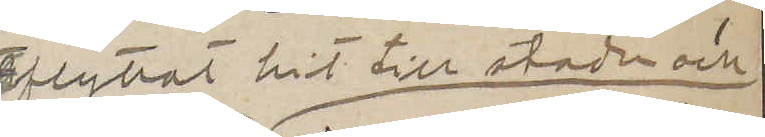flyttat hit till staden och
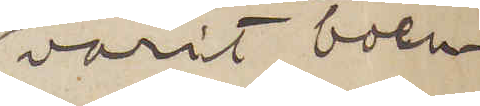varit boen¬
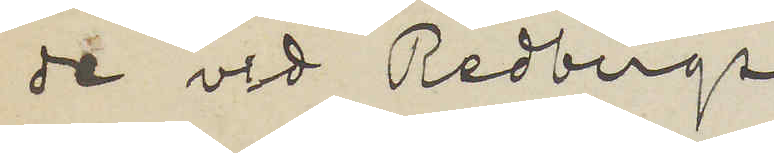de vid Redbergs¬
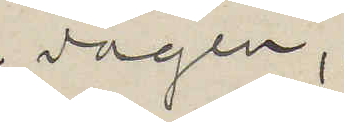vägen,
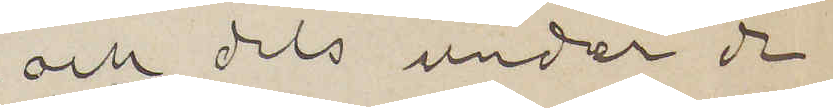och dels under de
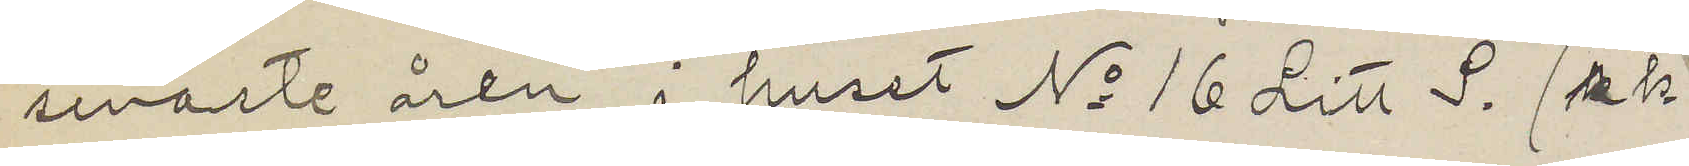senaste åren i huset No 16 Litt S. s.k.
